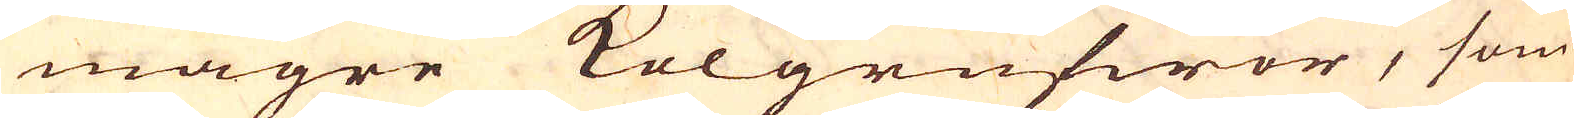magre Kolgrufwor, som
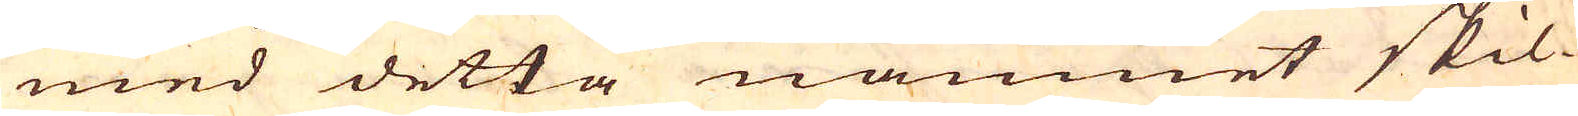med detta namnet skil-
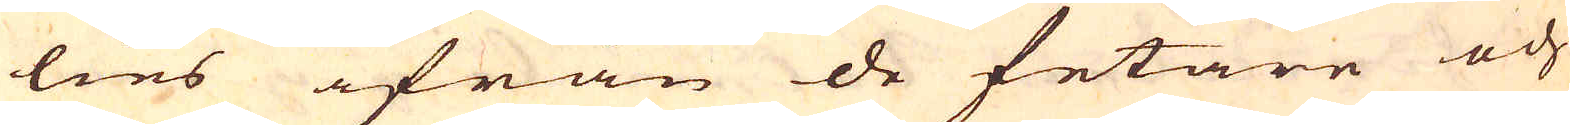lies ifrån de fetare och
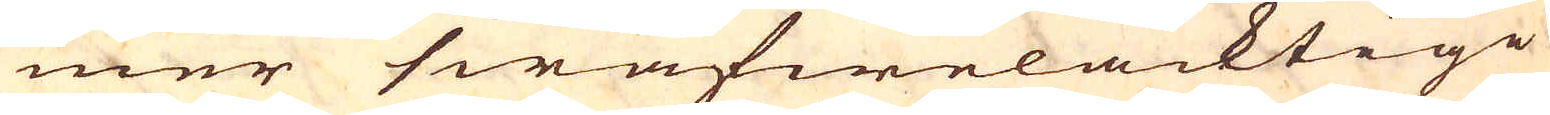mer swafwelacktige
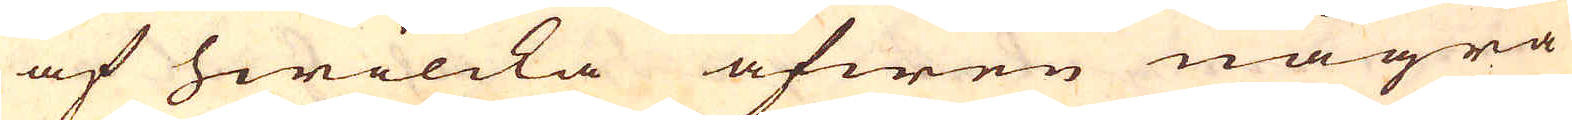af hwilcka äfwen några
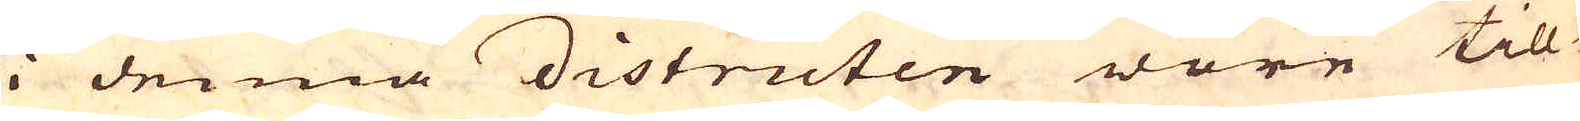i denna districten wore till-
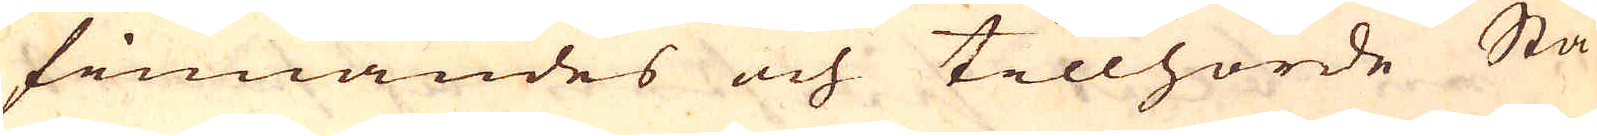finnandes och tillhörde Sta-
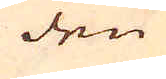den
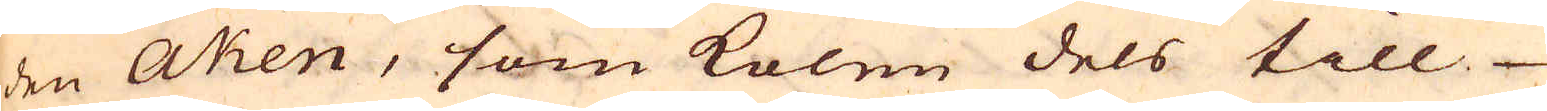den Aken, som kolen dels till
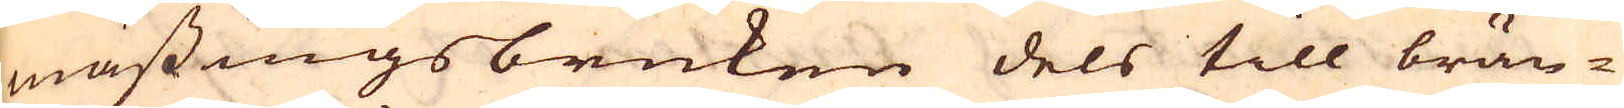mässingsbruken dels till brän-
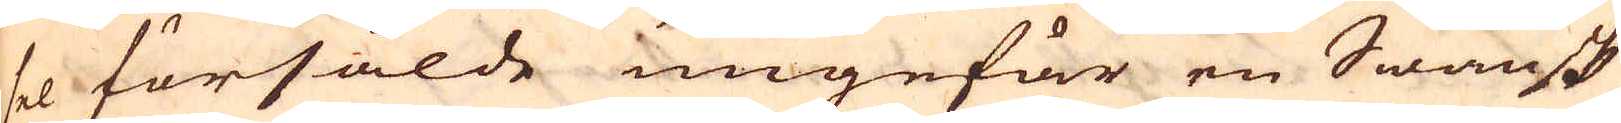sel försålde ungefär en Swänsk
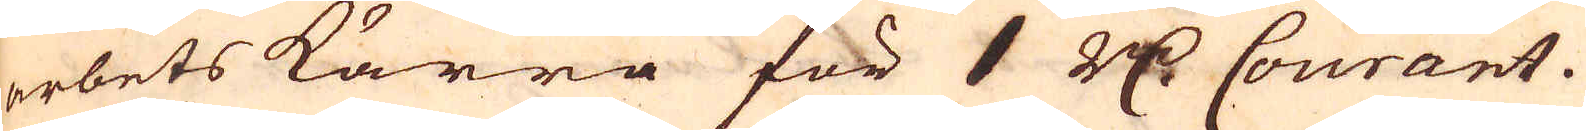arbets kärra för 1 R:dr Courant.
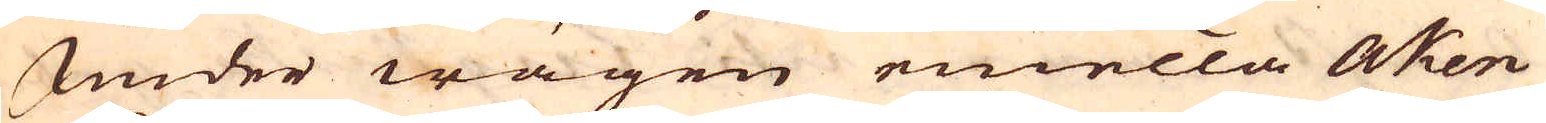Under wägen emella Aken
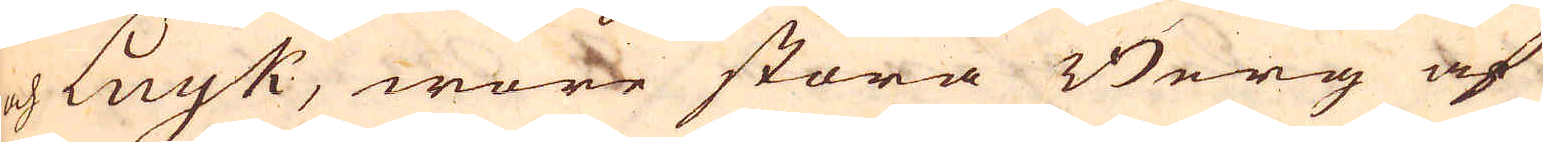och Luyk, wore stora Berg af
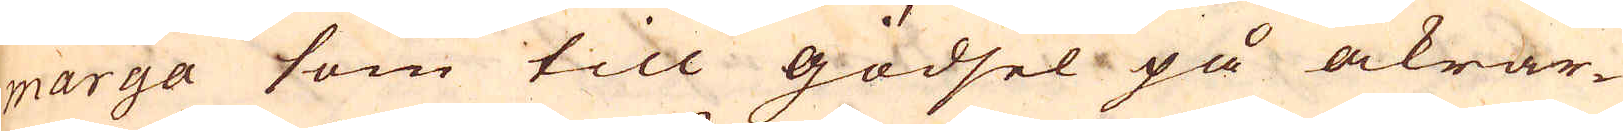marga som till gödsel på åkrar-
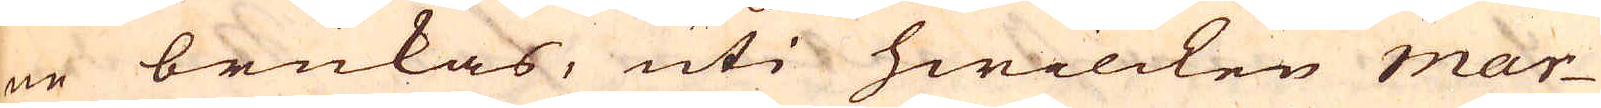ne brukas, uti hwilcken mar-
